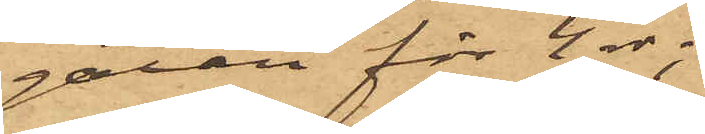gatan för 4 rdr;
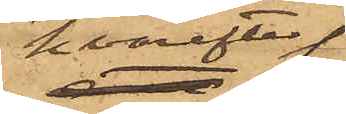hvarefter
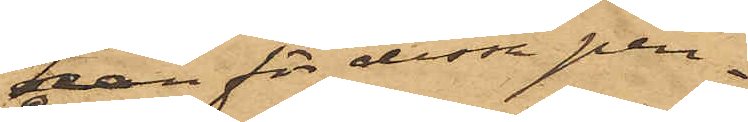han för dessa pen¬
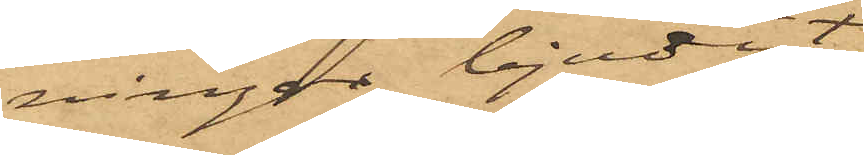ningar bjudit
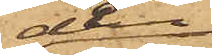dem
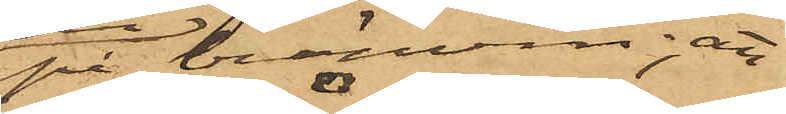på bränvin; att
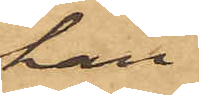han
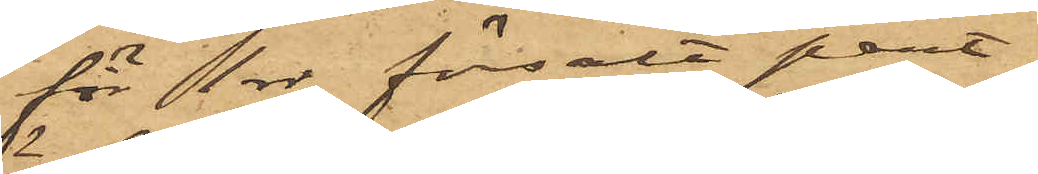för 1 rdr försålt pant¬
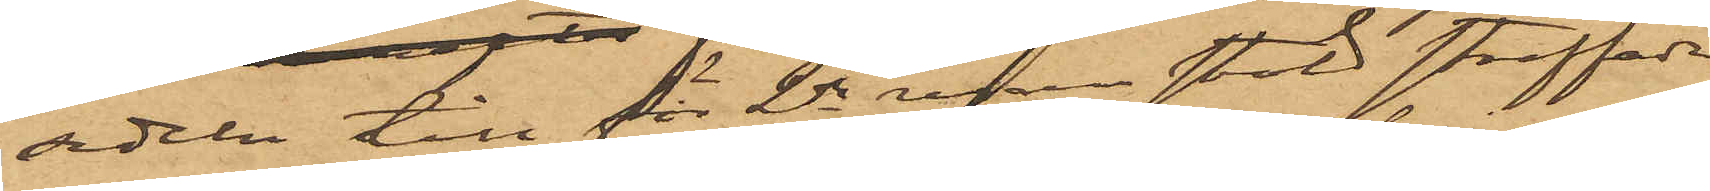sedeln till för 2dra resan stöld straffade
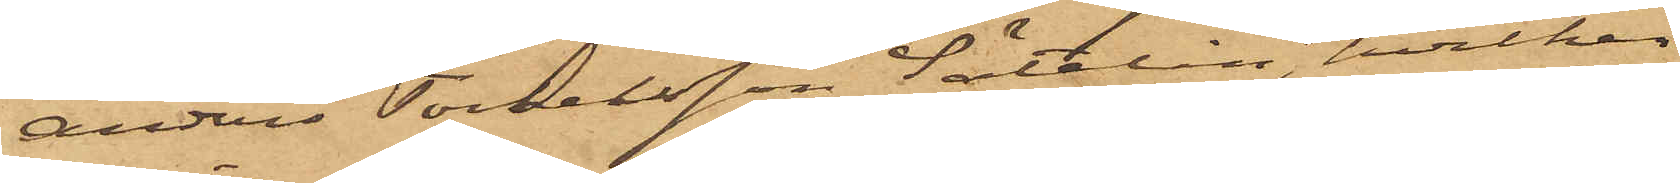Anders Torkelsson Sätelin, hvilken
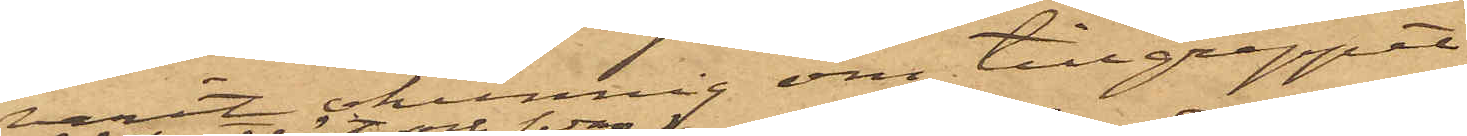varit okunnig om tillgreppet
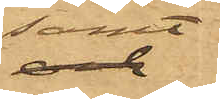samt
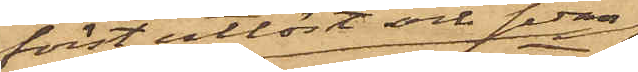först utlöst och sedan
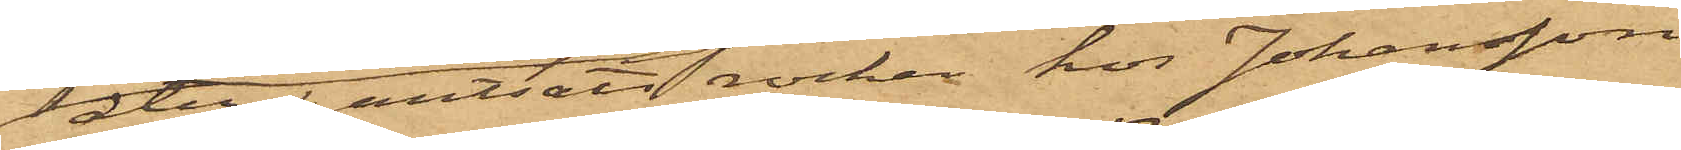åter pantsatt rocken hos Johansson
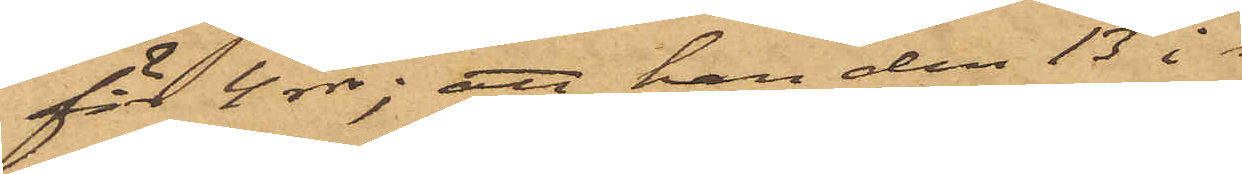för 4 rdr; att han den 13 i 
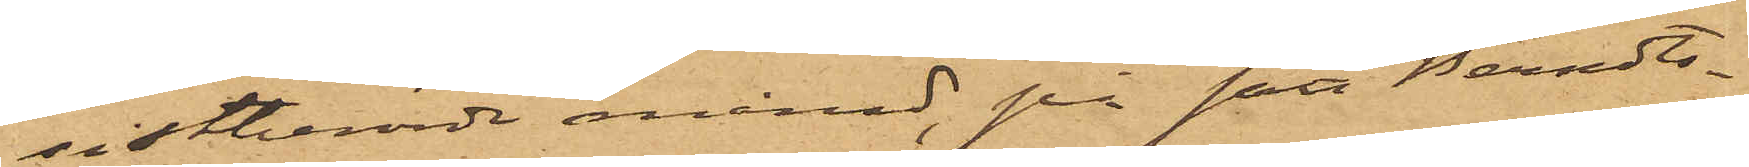sistberörde månad, på sätt Berndts¬
